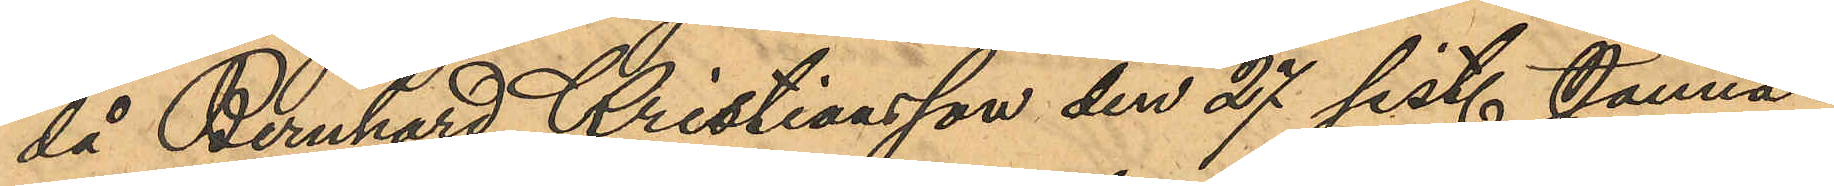då Bernhard Kristiansson den 27 sist. Janua¬
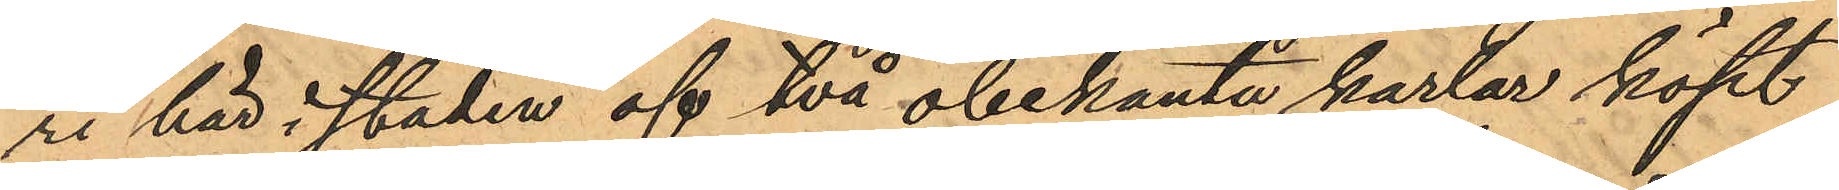ri här i staden af två obekanta karlar köpt
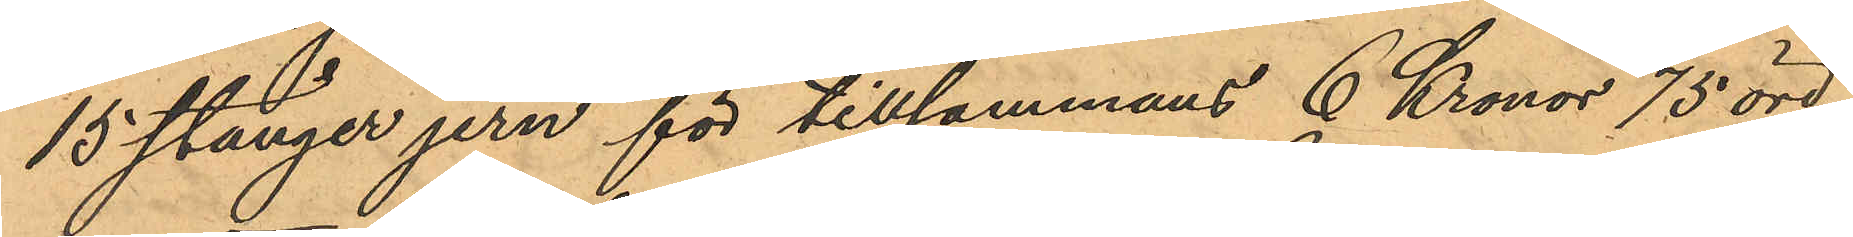15 stänger jern för tillsammans 6 Kronor 75 öre,
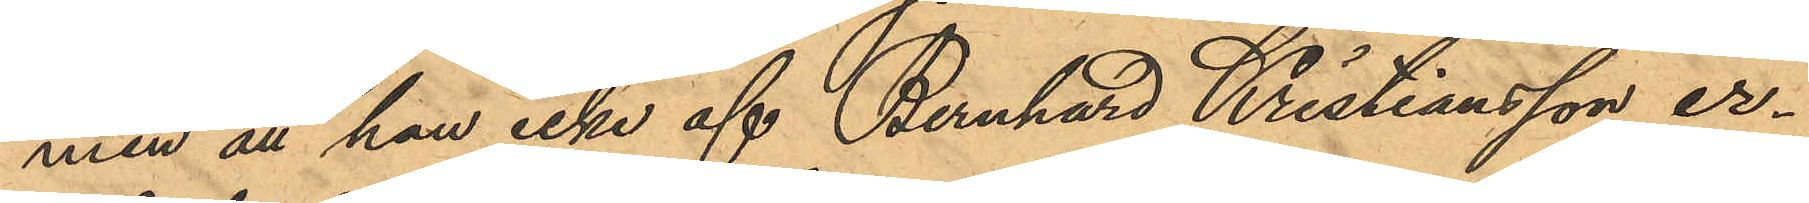men att han icke af Bernhard Kristiansson er¬
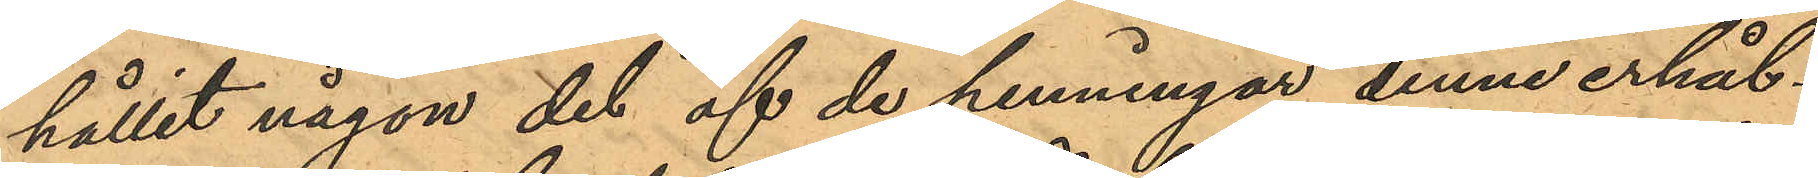hållit någon del af de penningar denne erhål¬
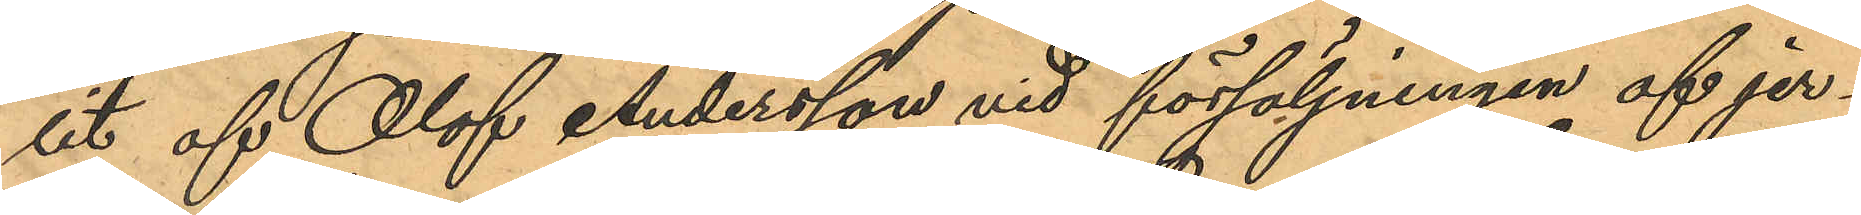lit af Olof Andersson vid försäljningen af jer¬
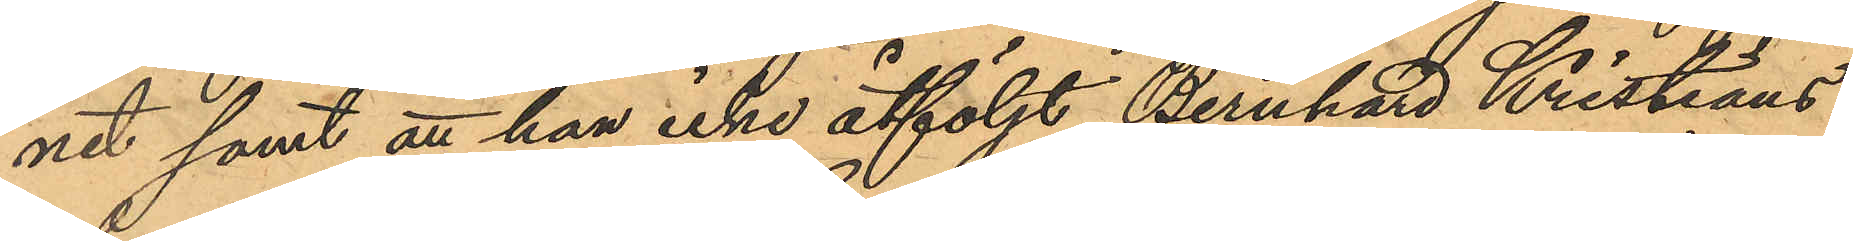net samt att han icke åtföljt Bernhard Kristians¬
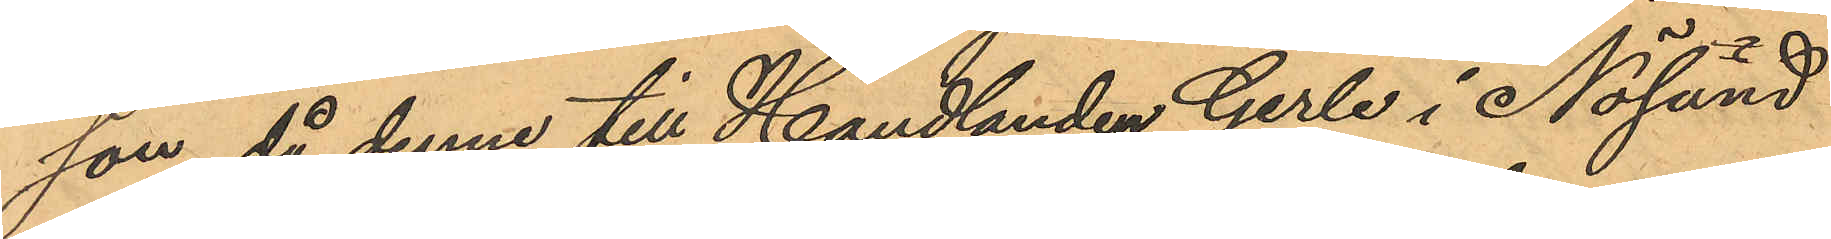son, då denne till Handlanden Gerle i Nösund
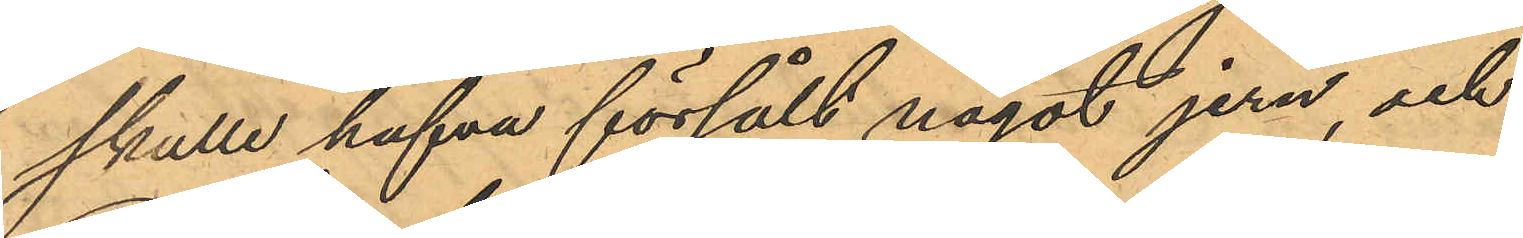skulle hafva försålt något jern, och
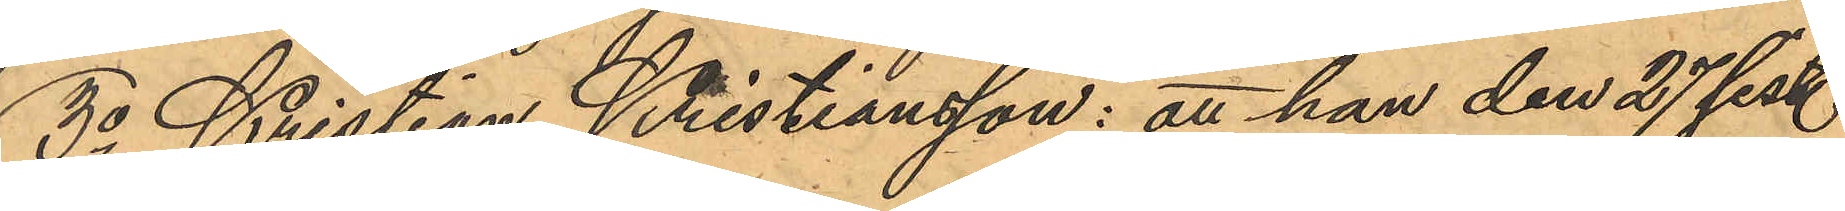3o Kristian Kristiansson: att han den 27 sist.
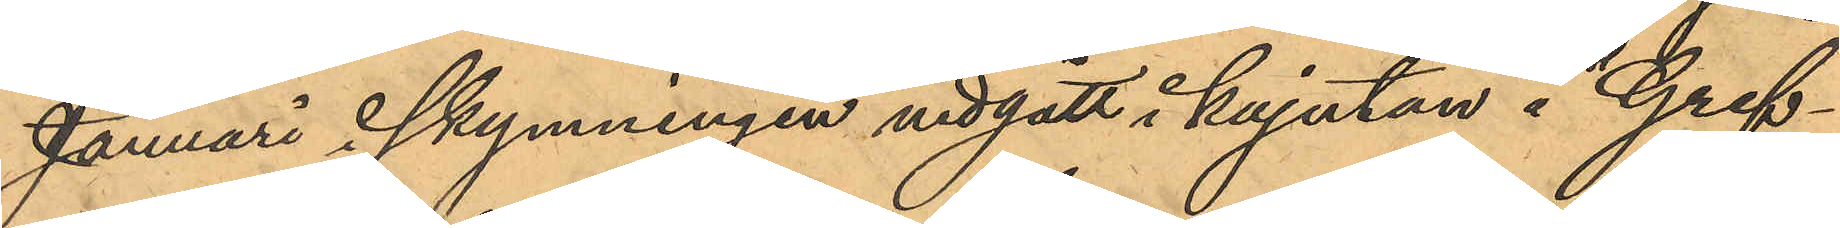Januari i skymningen nedgått i kajutan å "Gref¬
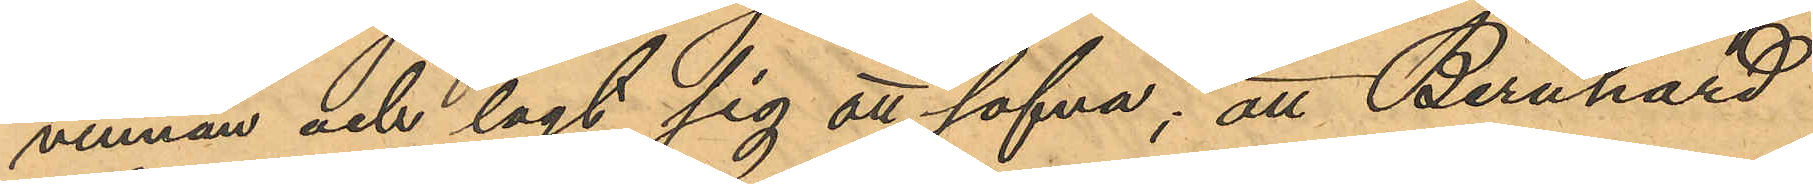vinnan och lagt sig att sofva; att Bernhard
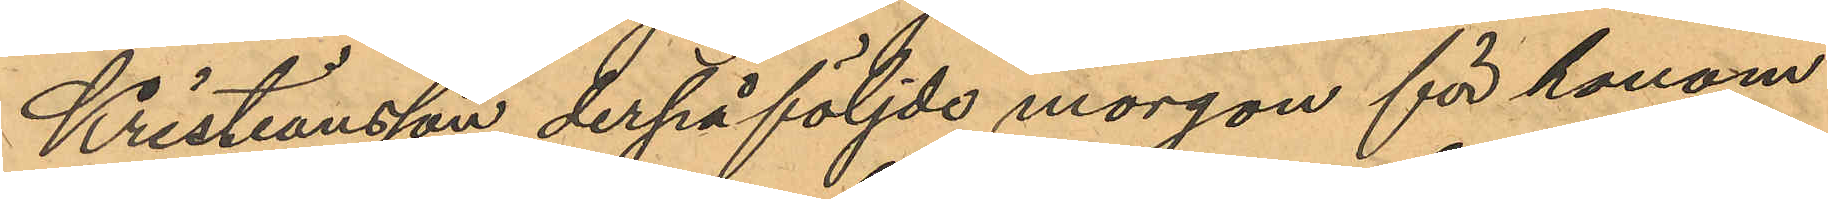Kristiansson derpå följde morgon för honom
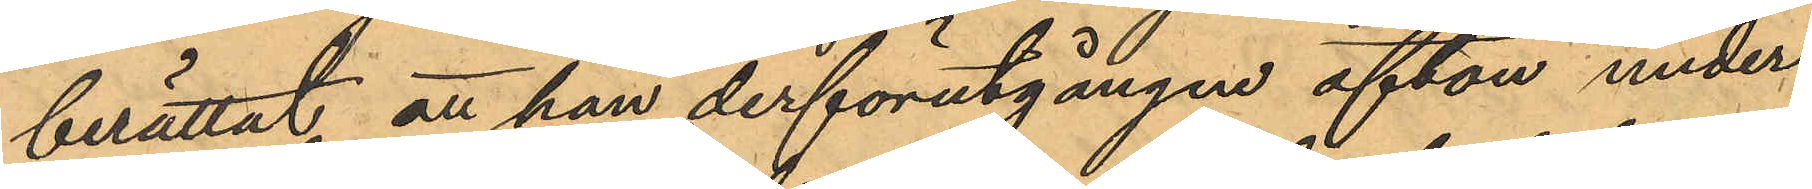berättat att han derförutgången afton under
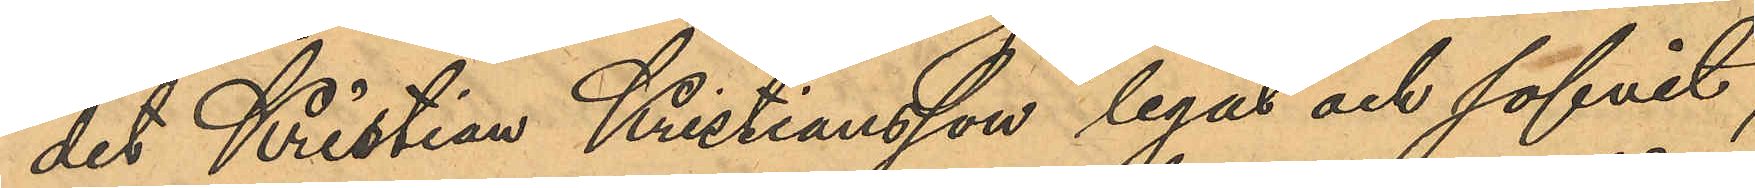det Kristian Kristiansson legat och sofvit,
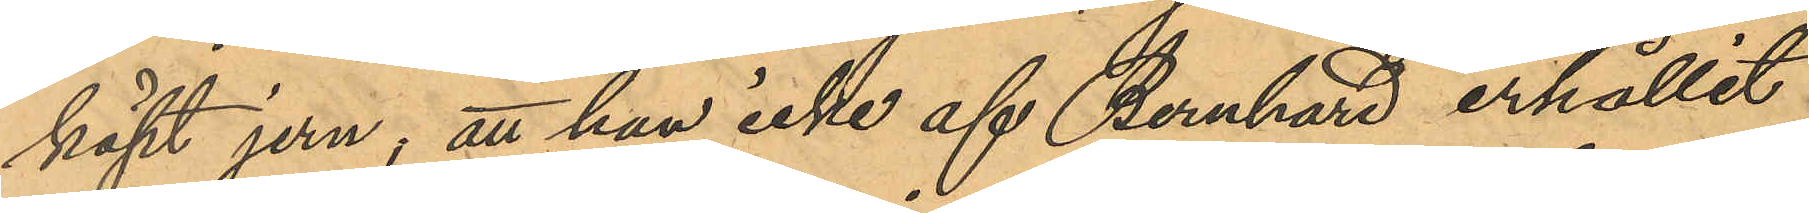köpt jern; att han icke af Bernhard erhållit
